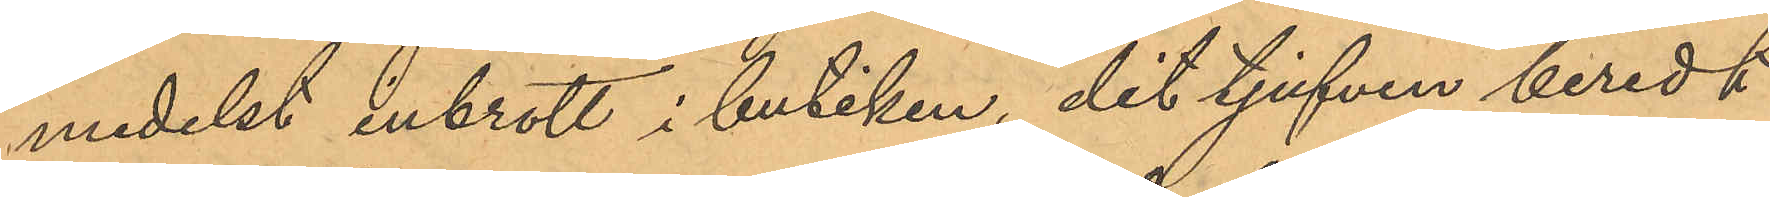medelst inbrott i butiken, dit tjufven beredt
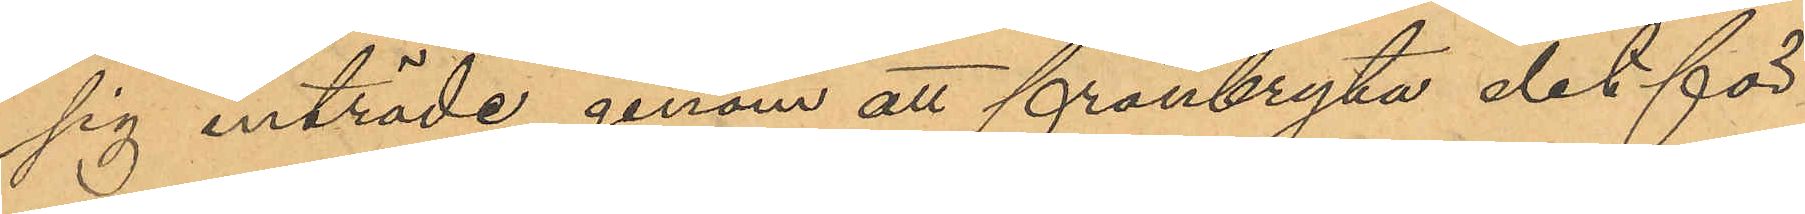sig inträde genom att frånbryta det för
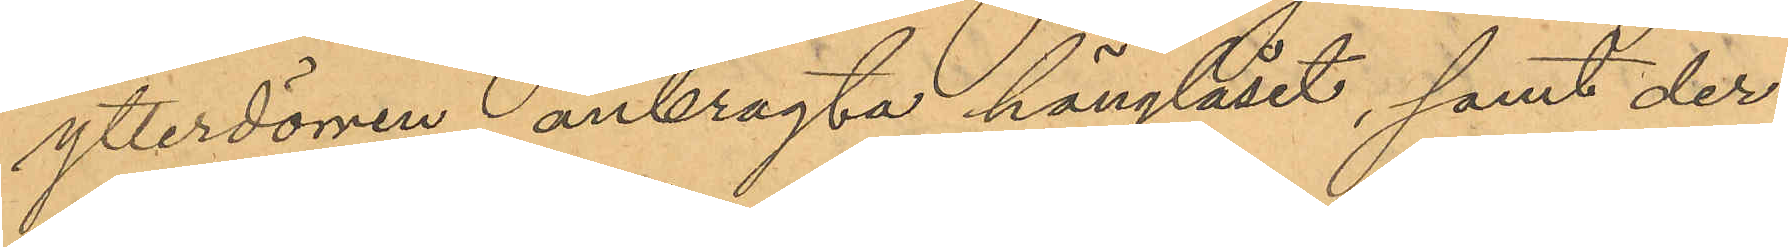ytterdörren anbragta hänglåset, samt der¬
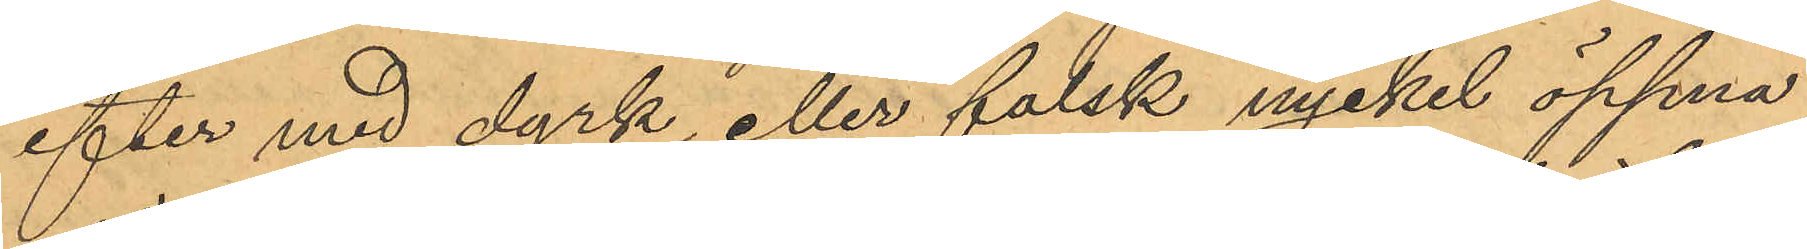efter med dyrk eller falsk nyckel öppna
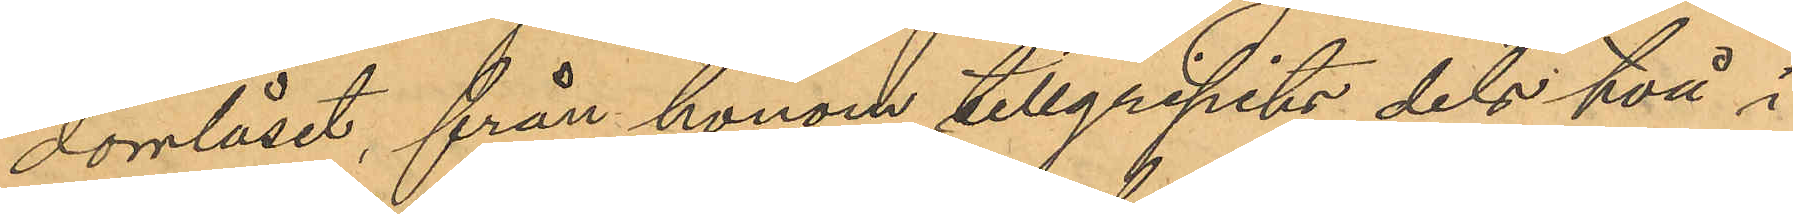dörrlåset, från honom tillgripits dels två i
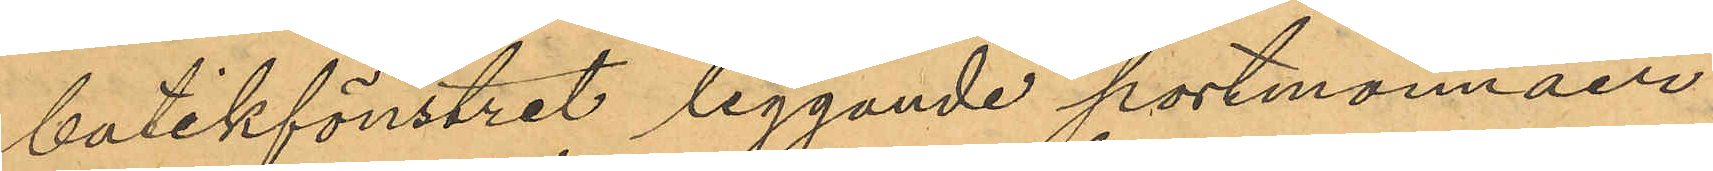butikfönstret liggande portmonnäer
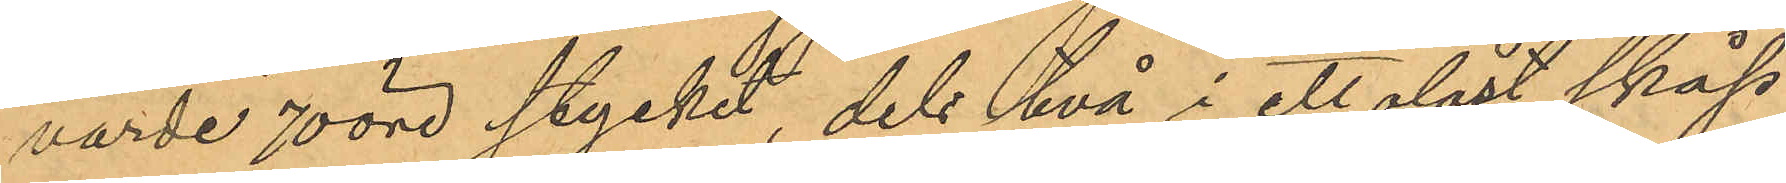värde 70 öre stycket, dels två i ett olåst skåp
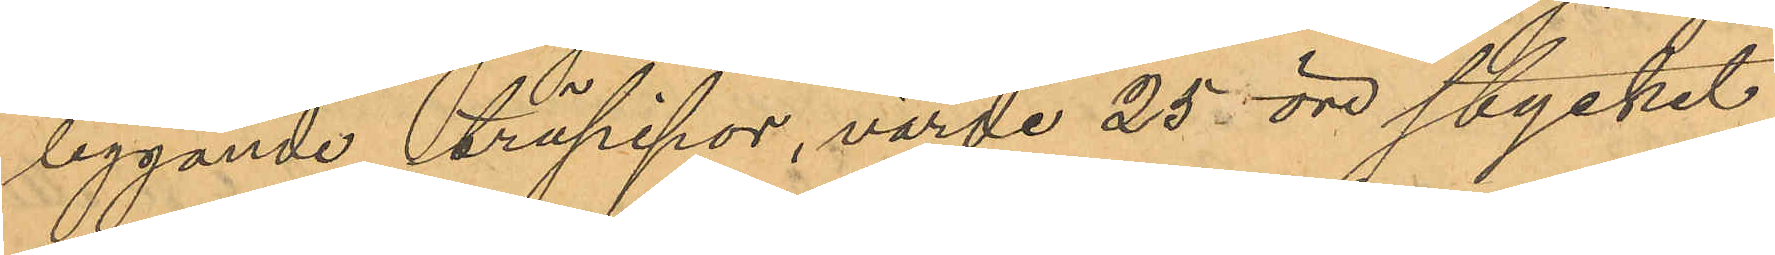liggande träpipor, värde 25 öre stycket
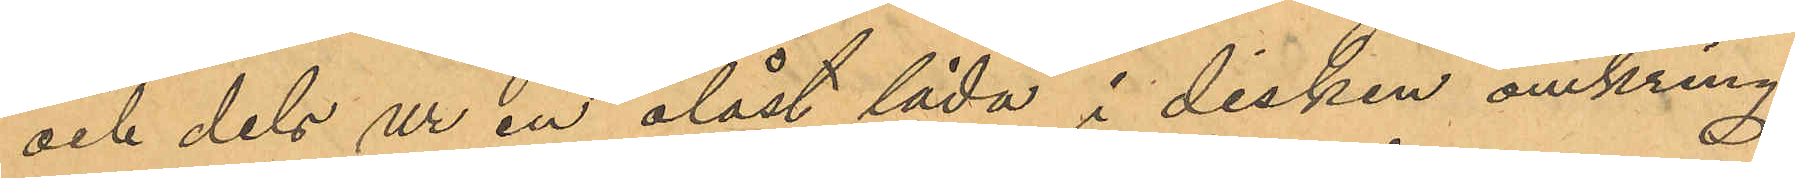och dels ur en olåst låda i disken omkring
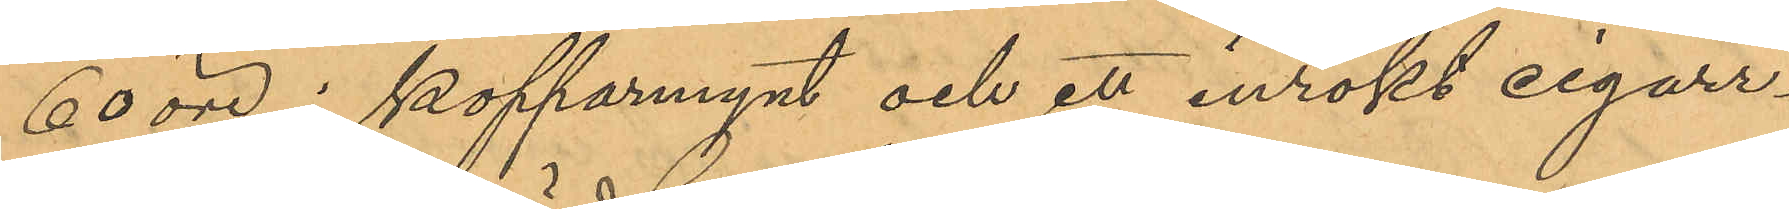60 öre i kopparmynt och ett inrökt cigarr¬
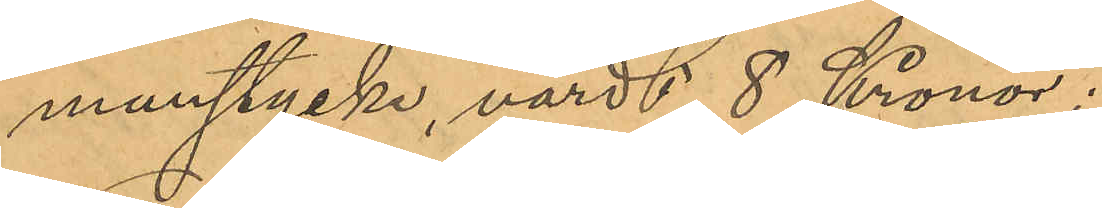munstycke, värdt 8 Kronor;
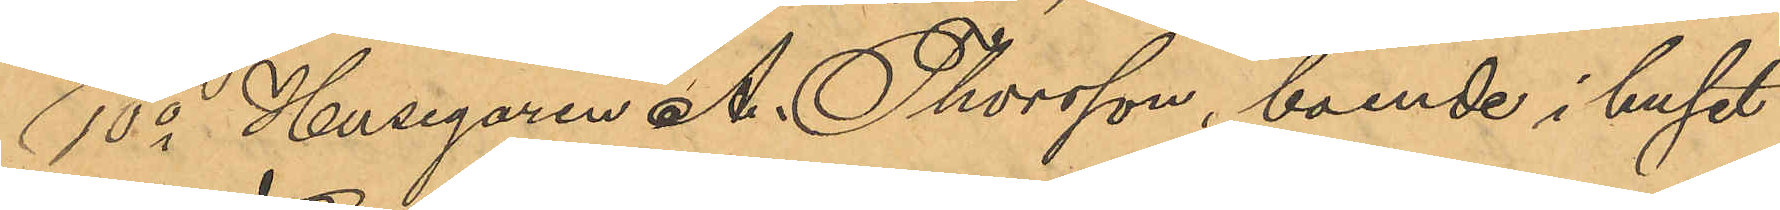10o Husegaren A. Thorsson, boende i huset
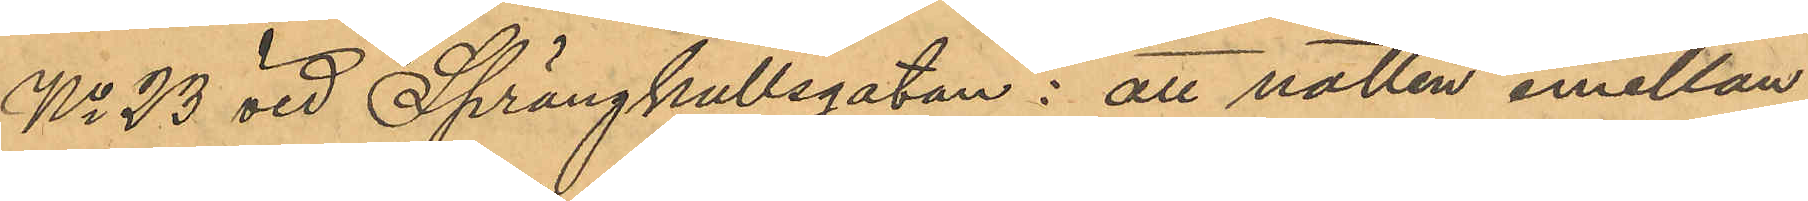No 23 vid Sprängkullsgatan: att natten emellan
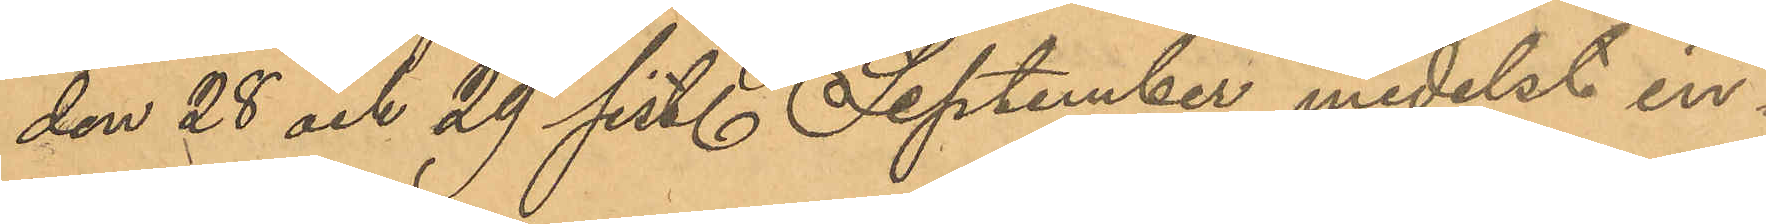den 28 och 29 sist. September medelst in¬
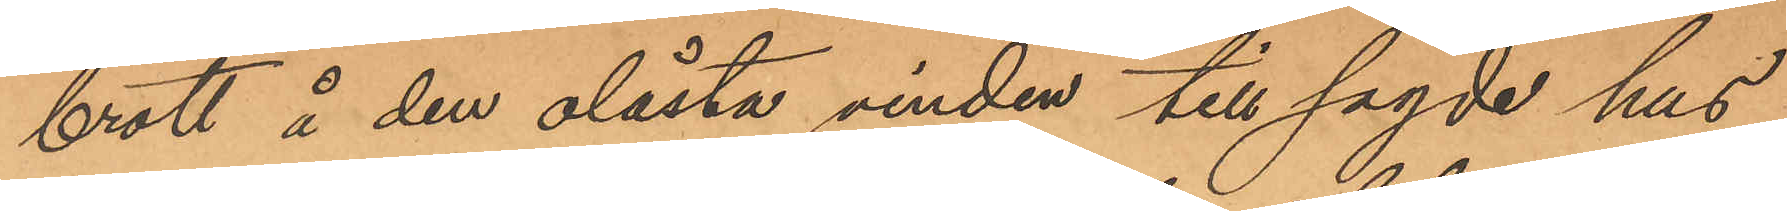brott å den olåsta vinden till sagde hus
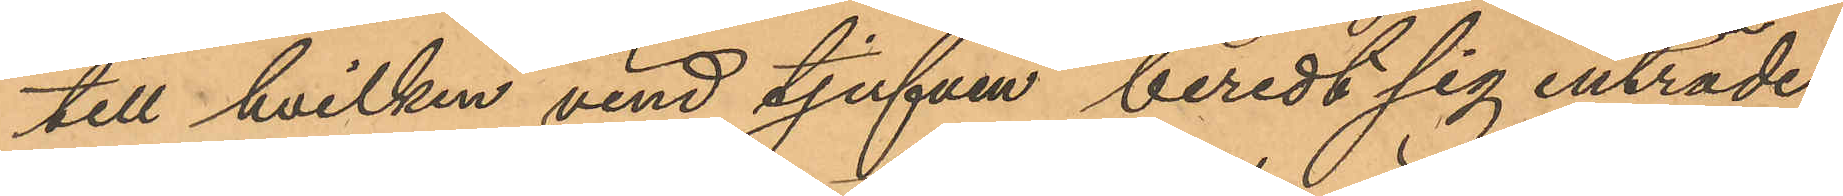till hvilken vind tjufven beredt sig inträde
